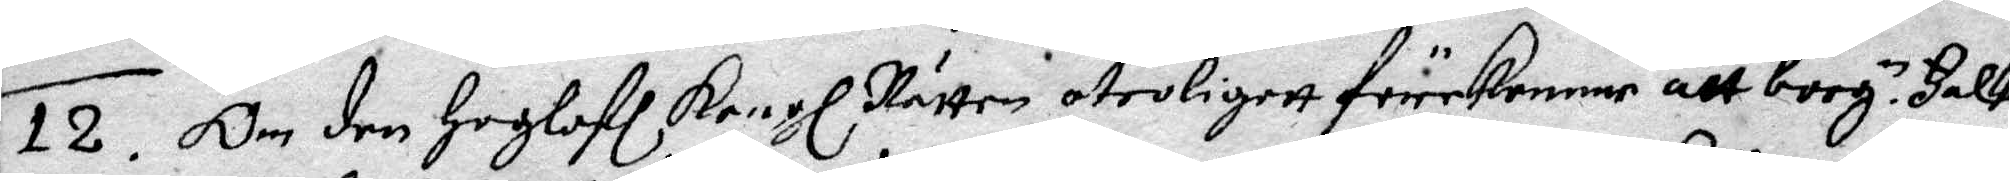12. Om den Hoglofl Kongl. Rätten otroligett förekomme att borg.e Falk
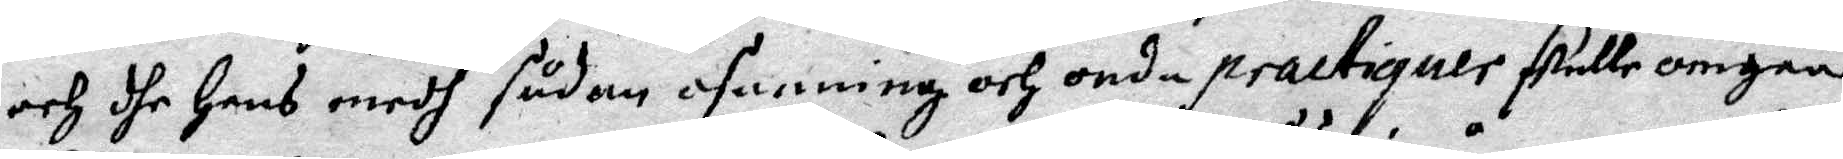och dhe hans medh sådan osanning och onda practiquer skulle omgåå
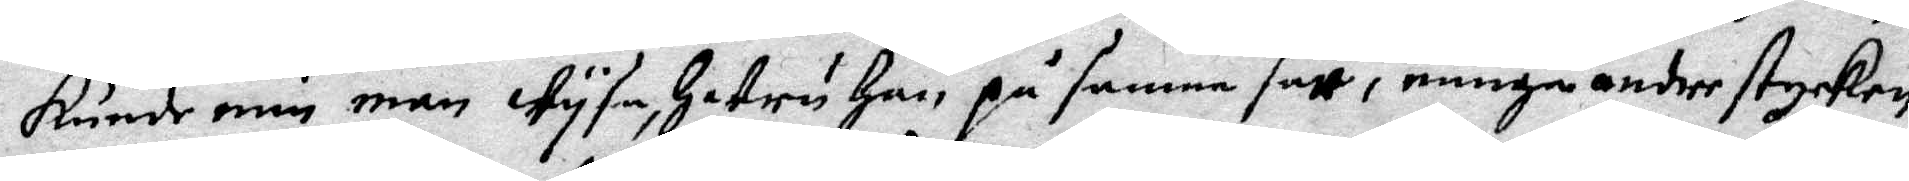kunde min man wysa, huru han på samma sätt i många andre stycken
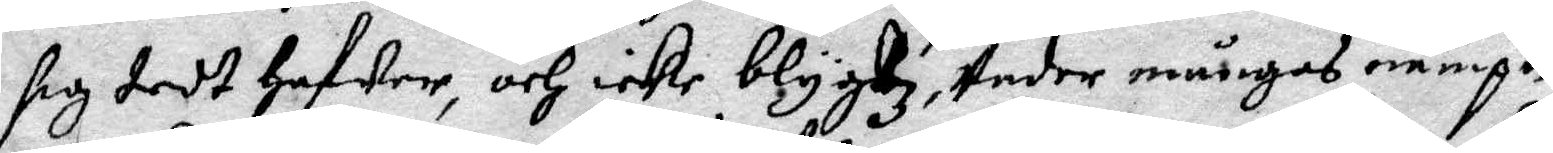sig dedt hafwer, och icke blygdz, Under mångas nampn 
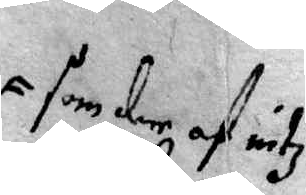som der af intz
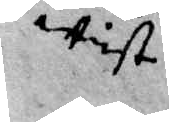wist
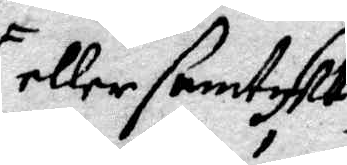eller samtykt
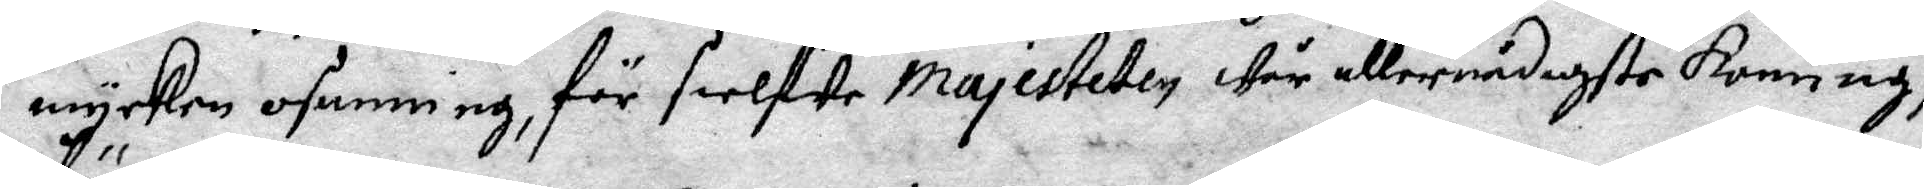mycken osanning, för sielfwe Majesteten Wår allernådigste Konung,
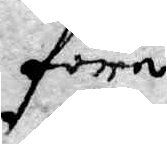före.
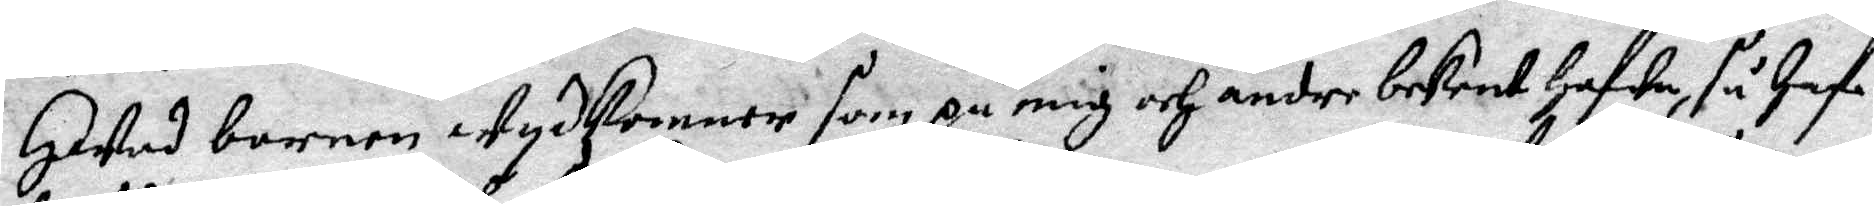13. Hwad barnen Wydhkommer som på mig och andre bekent hafwa, så Haf¬
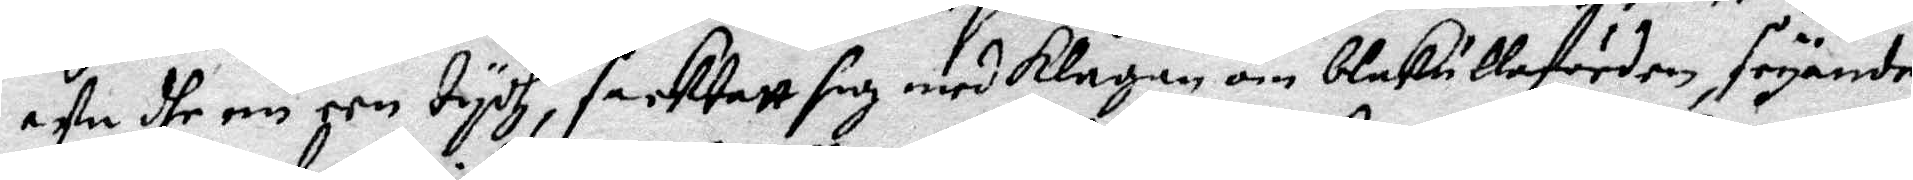we dhe nu een tydh, fecktatt sig med klagan om blåkullafärden, säyande
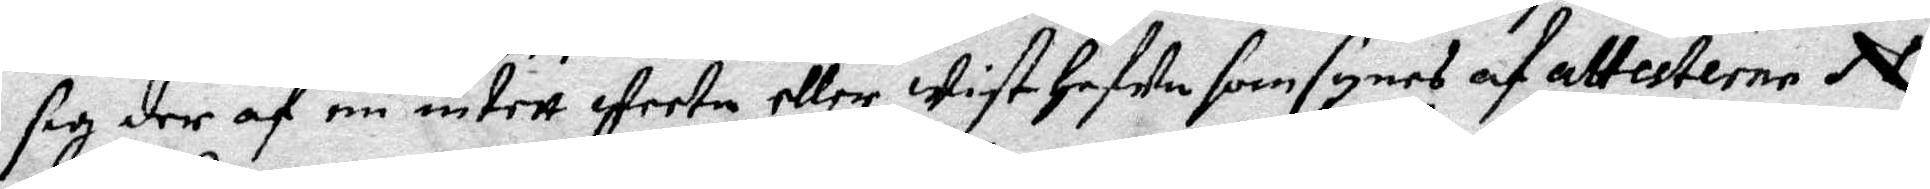sig der af nu intett weeta, eller wist hafwa som synes af attesterna N.
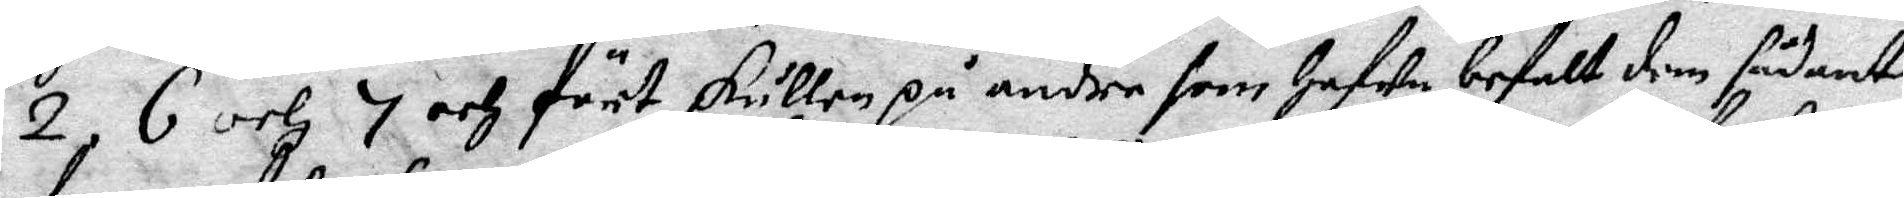2, 6 och 7 och fört skullen på andre som hafwa befalt dem sådant
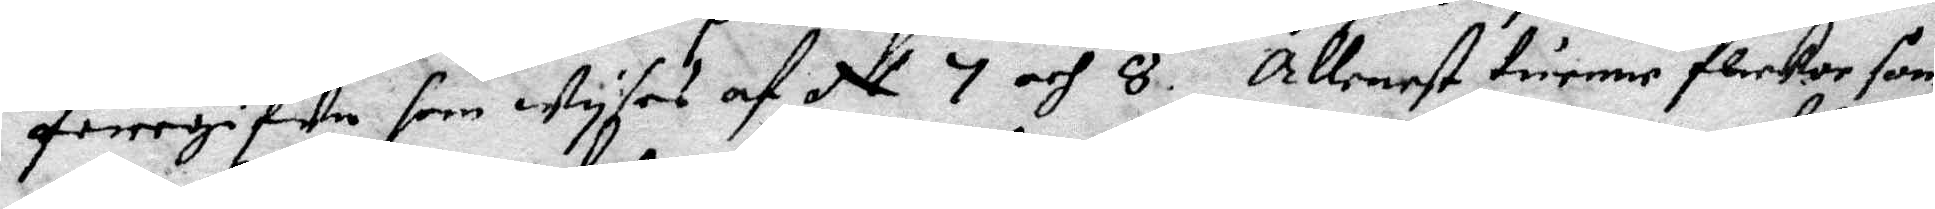föregifwe som wyses af N. 7 och 8. Allenast tuenne flickor som
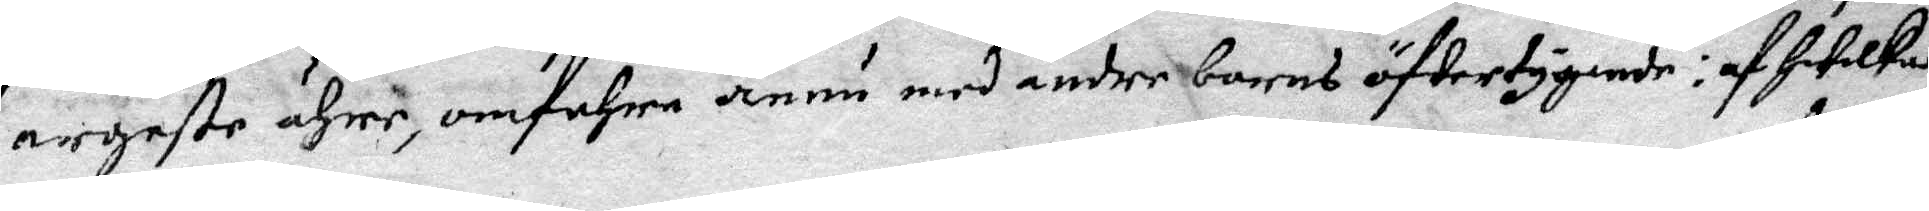argeste ähre, omfahra ännu med andre barns öfwertygande: af hwilka
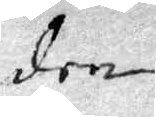den
